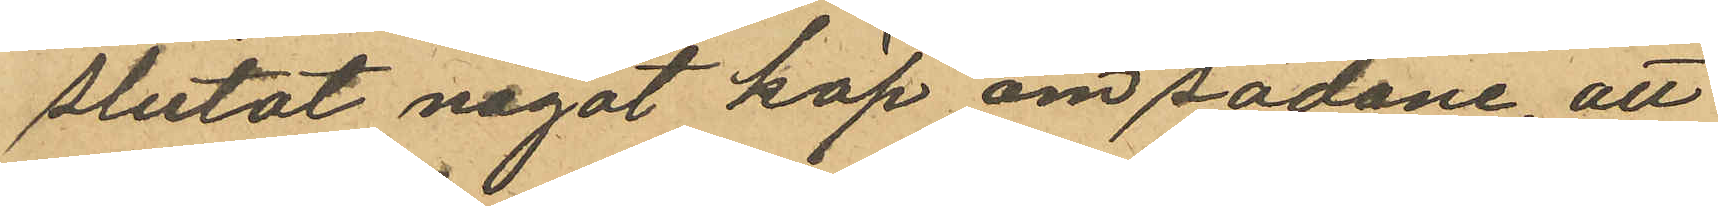slutat något köp om sådane, att
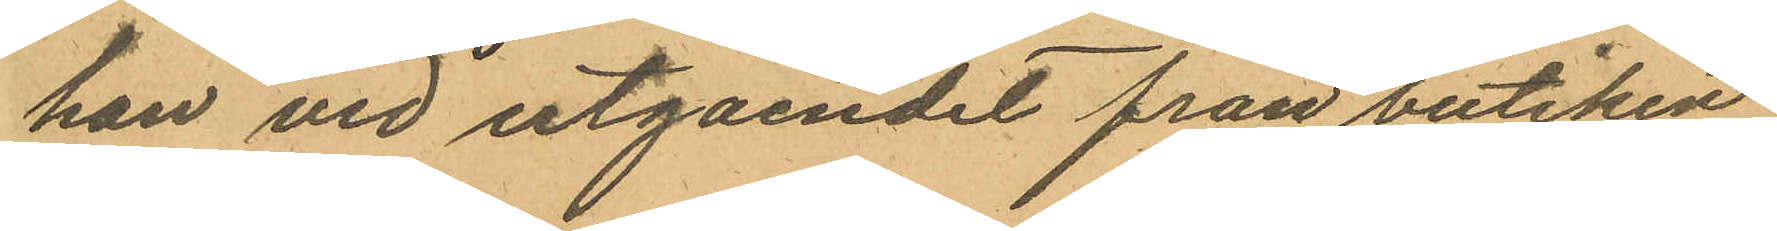han vid utgåendet från butiken
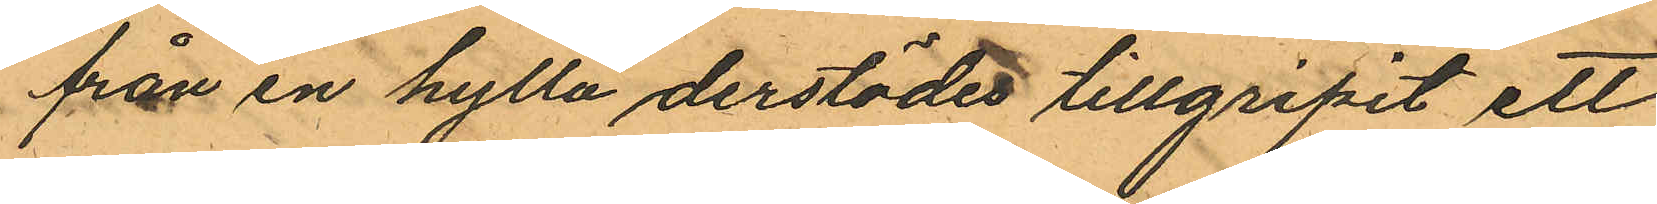från en hylla derstädes tillgripit ett
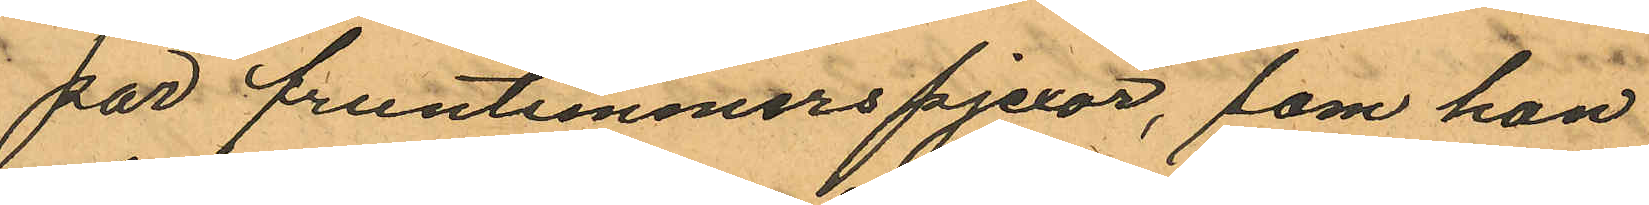par fruntimmerspjexor, som han
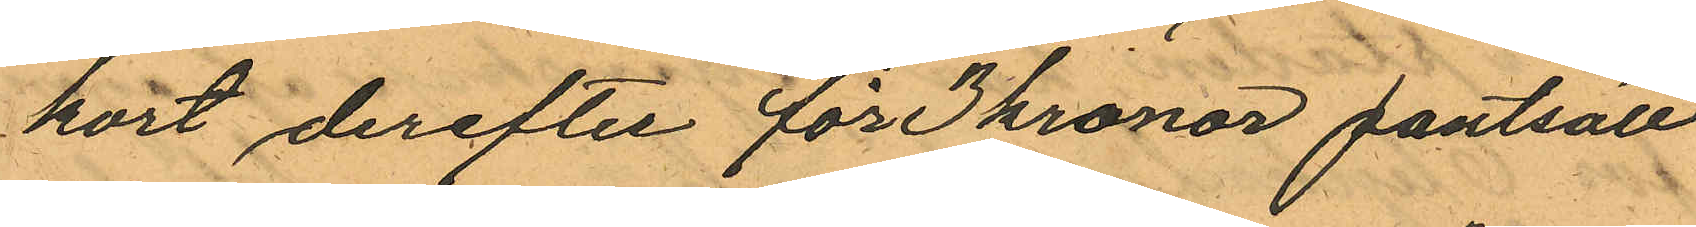kort derefter för 3 kronor pantsatt
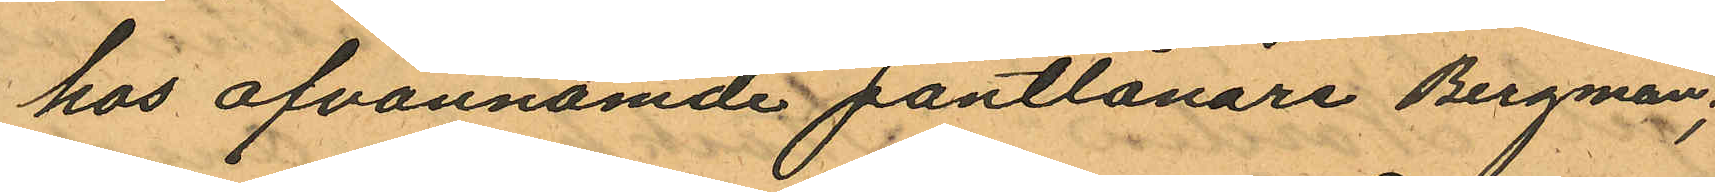hos ofvannämde pantlånare Bergman;
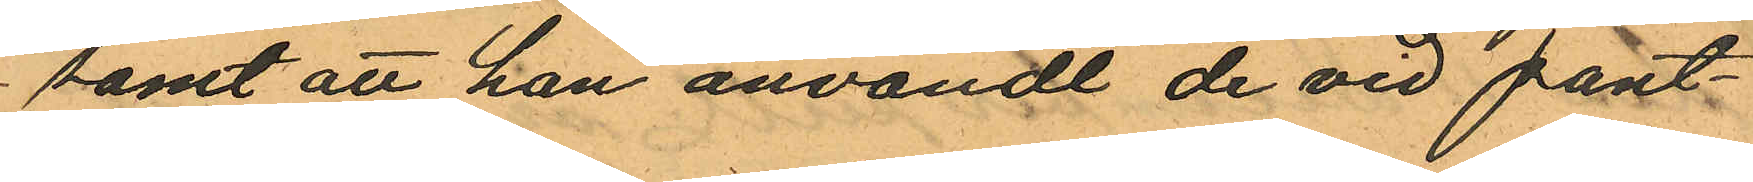samt att han användt de vid pant¬
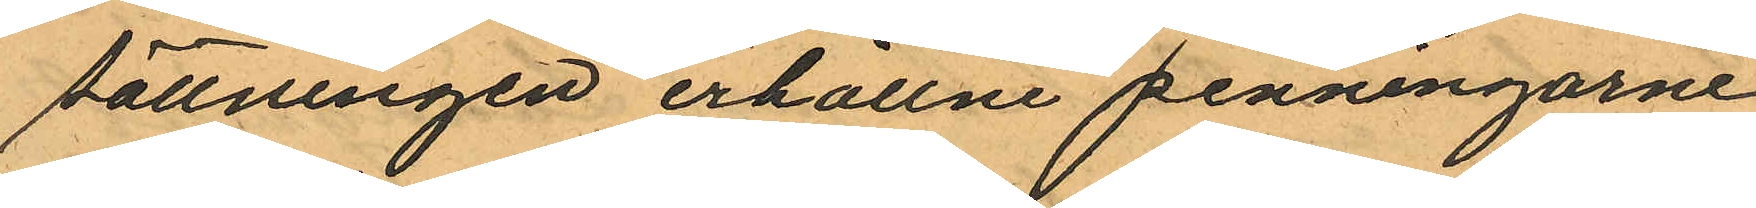sättningen erhållne penningarne
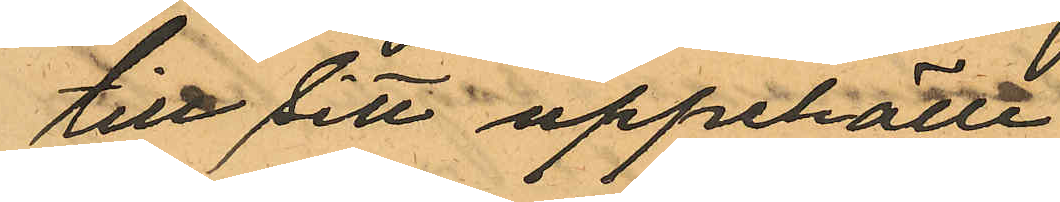till sitt uppehälle.
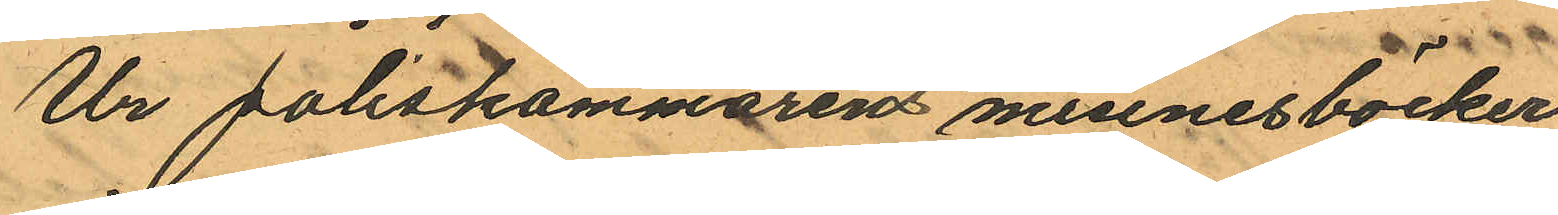Ur poliskammarens minnesböcker
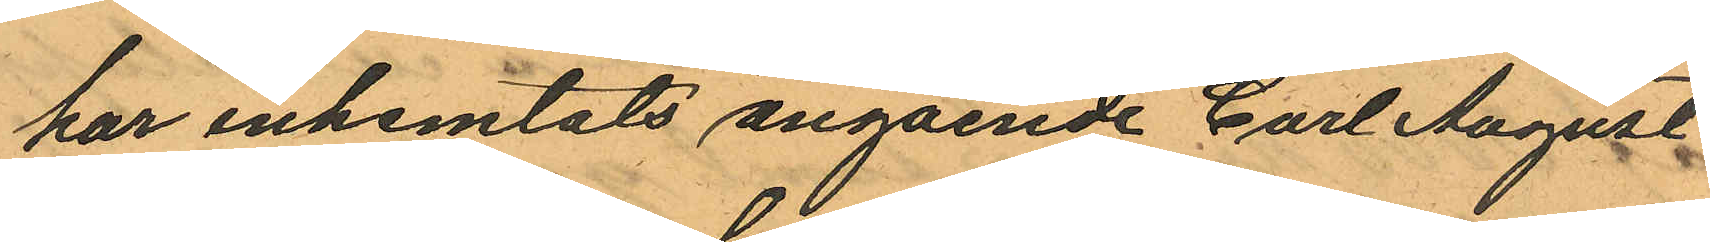har inhemtats angående Carl August
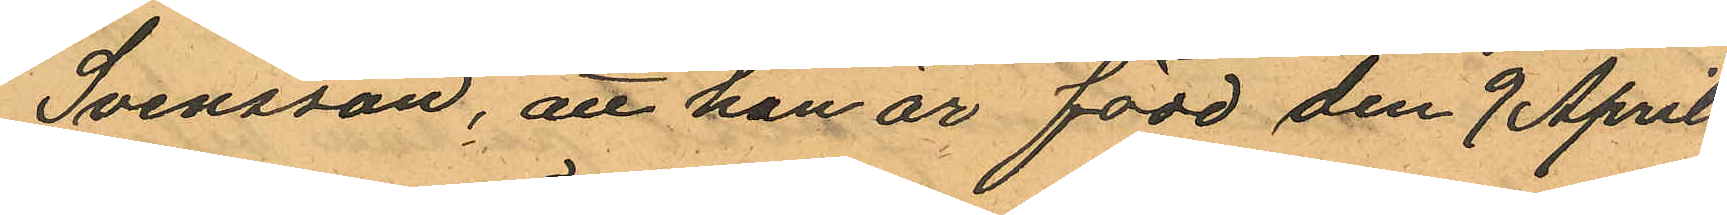Svensson, att han är född den 9 April
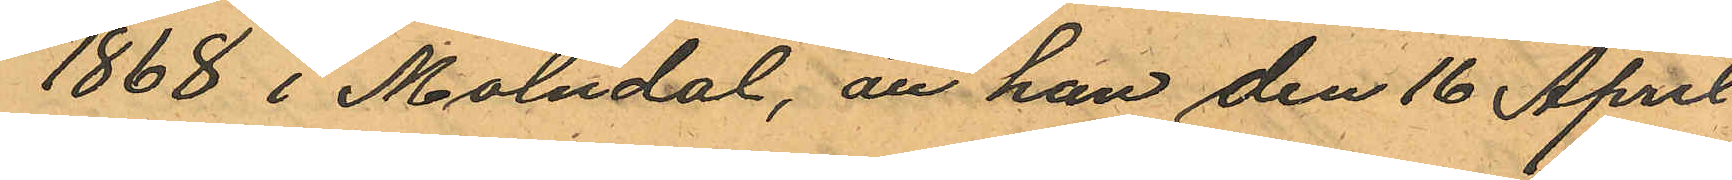1868 i Mölndal, att han den 16 April
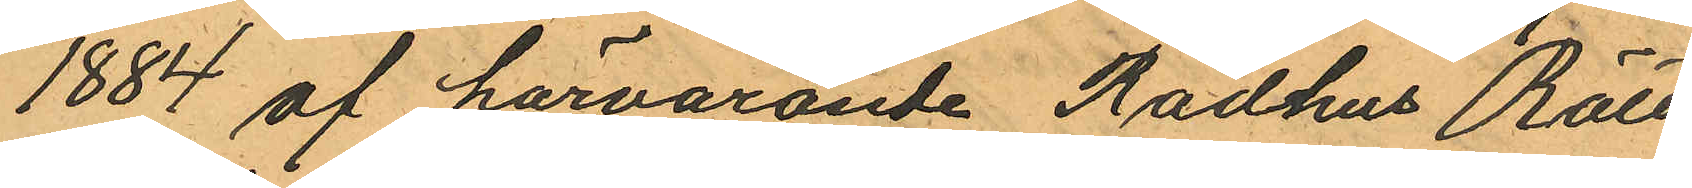1884 af härvarande Rådhus Rätt
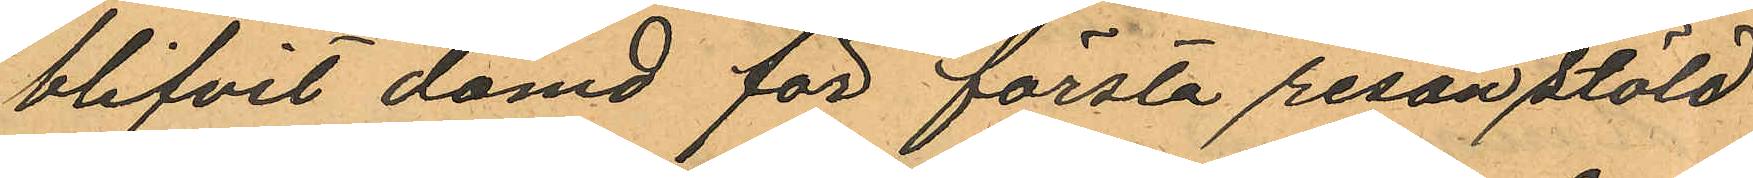blifvit dömd för första resan stöld
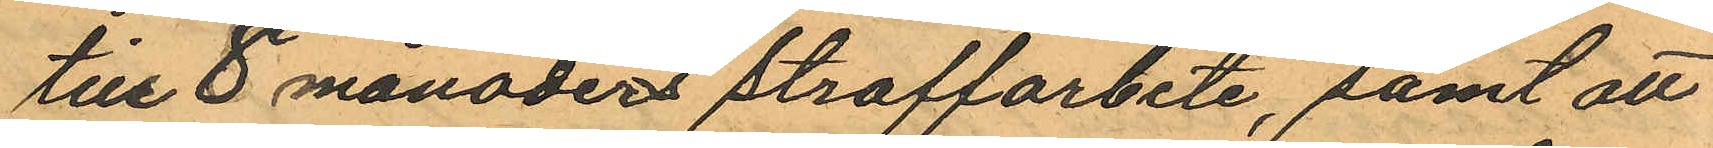till 8 månaders straffarbete, samt att
